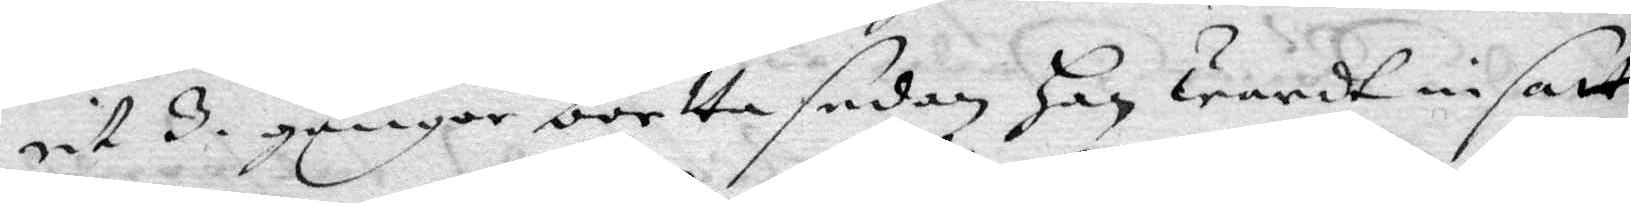rit 3. gånger bortta sedan han wardt insatt
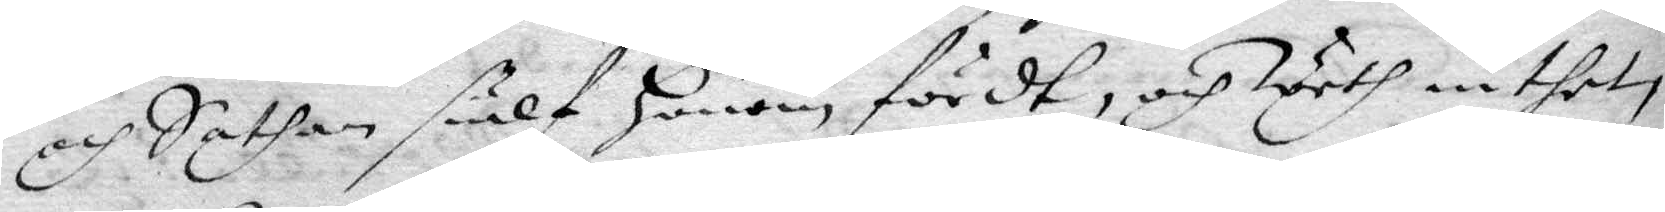och Sathan sielf honom fördt, och weth inthet
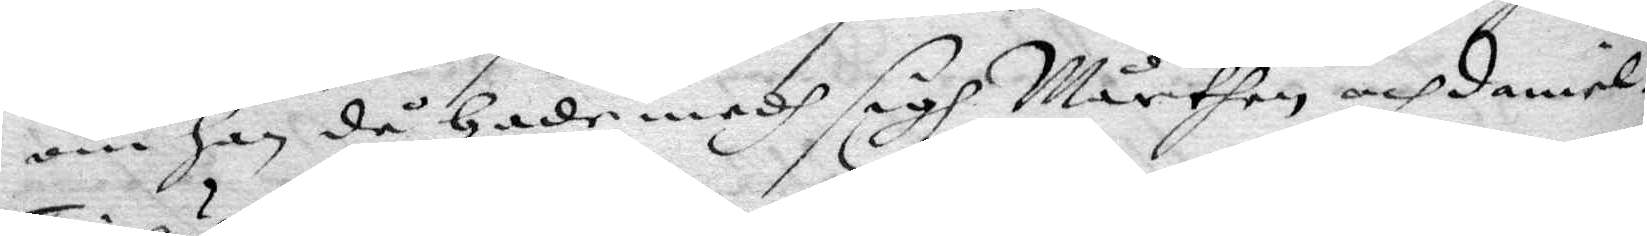om han då hade medh sigh Mårthen och Daniel.
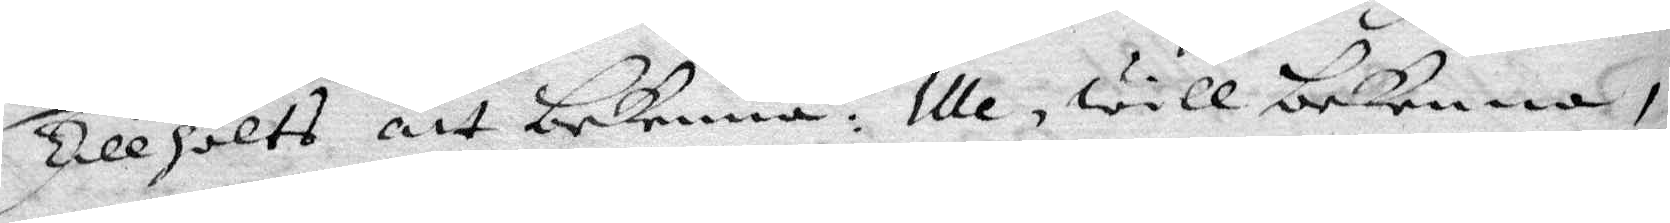tillhölts att bekenna. Ille, will bekenna,
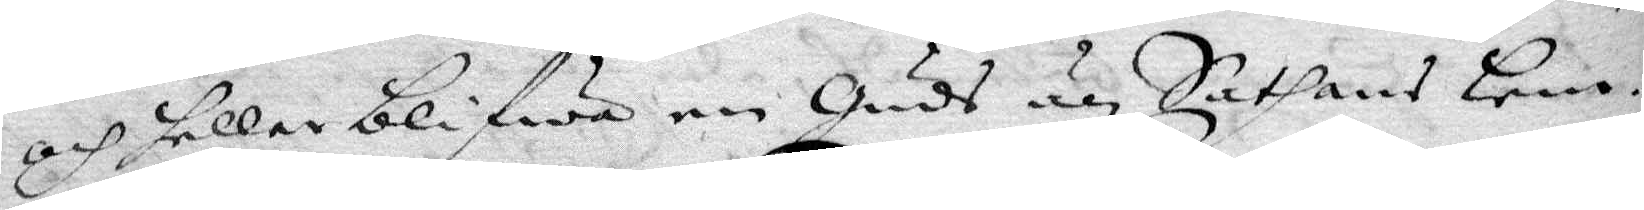och heller blifwa en Guds än Sathans barn.
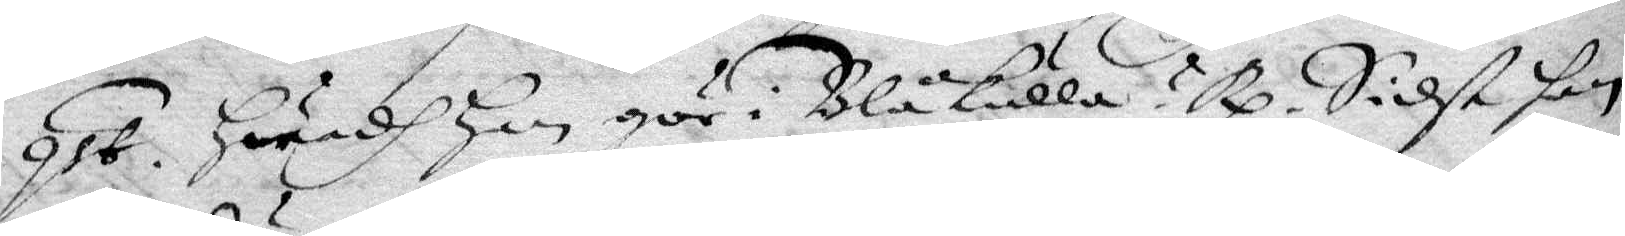qst. Hwadh han gör i Blåkulla? Rp. Sidst han
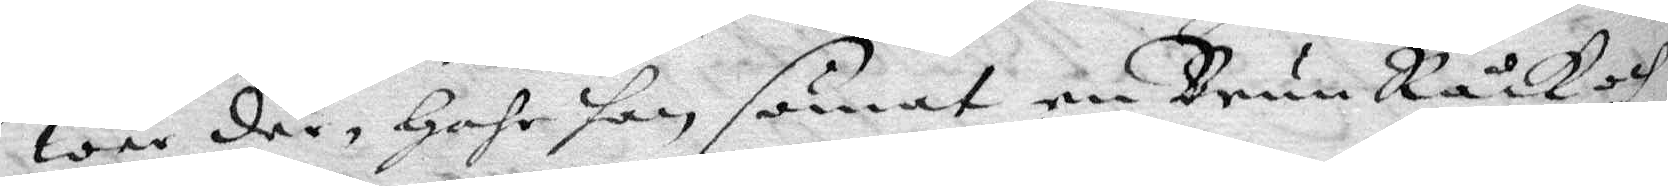war där, hahr han sömat en Brun Råck och
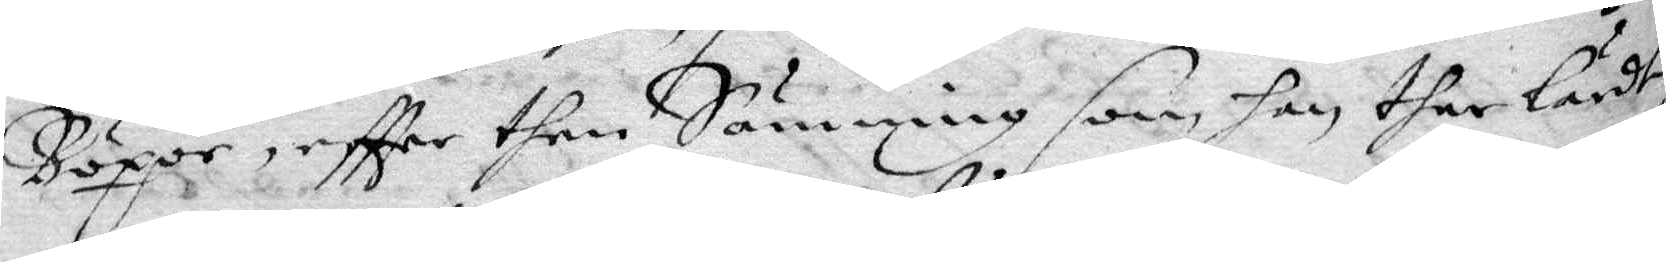Böxor, eftter then Sömning som han ther lärdt,
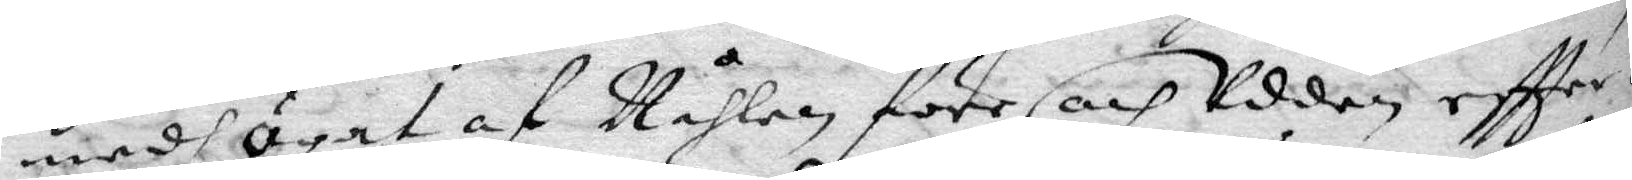medh ögat af Nåhlen före och Udden eftter.
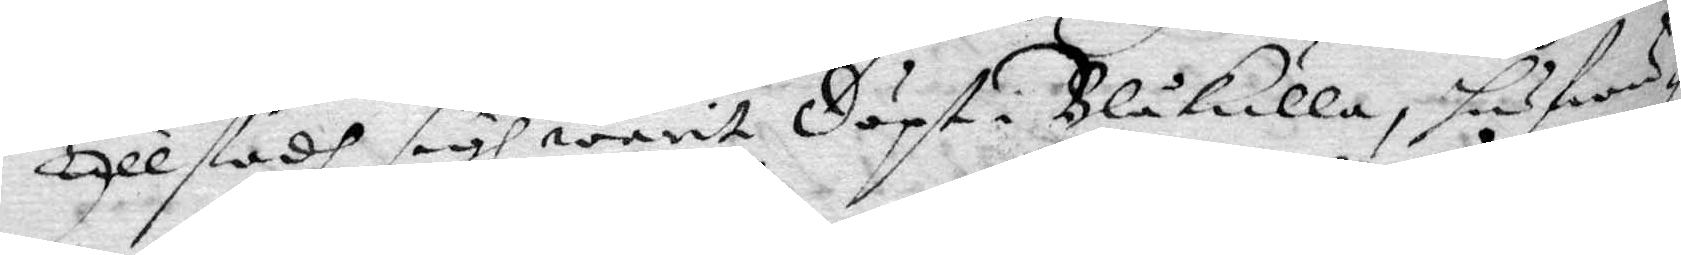Tillstodh sigh warit döpt i Blåkulla, hufwu¬
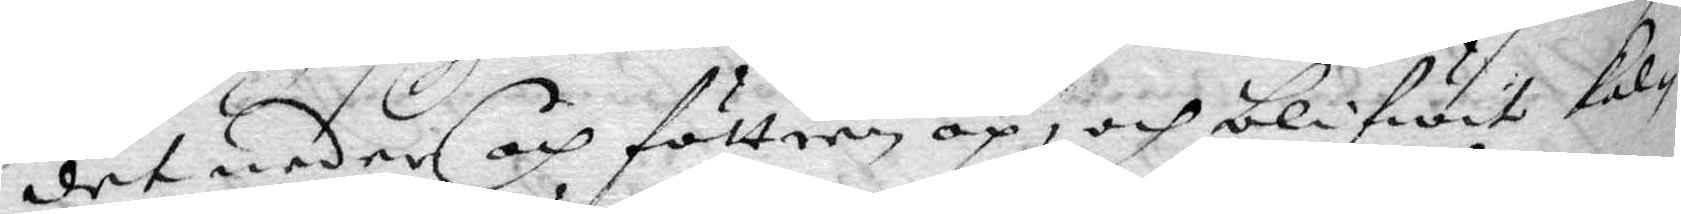det neder och föttern op, och blifwit kal¬
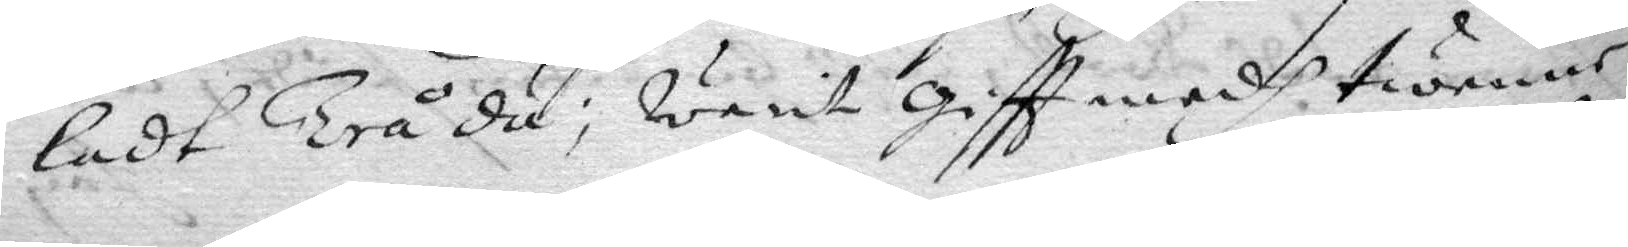ladt Trå du; warit giftt medh twenne
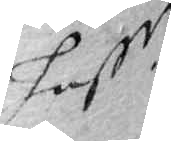hustr
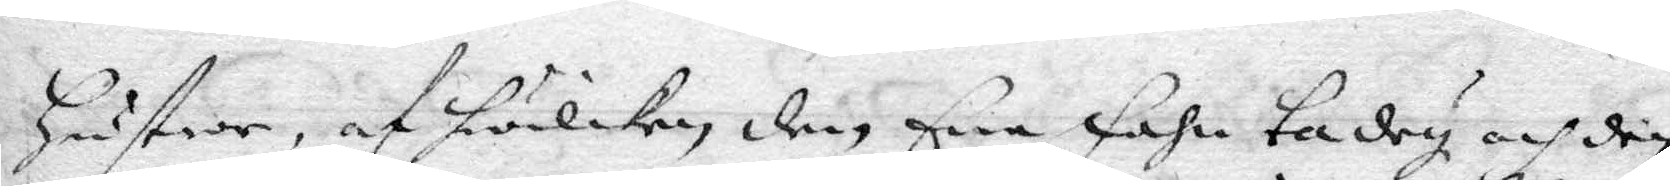hustror, af hwilken den Ene Fahn ta dey och den
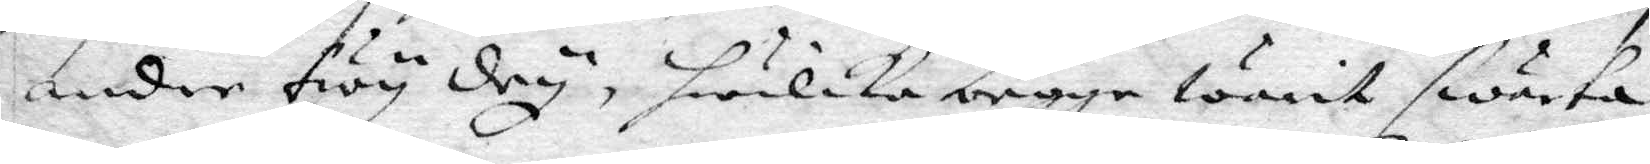andre Twy dey, hwilka begge warit swarta
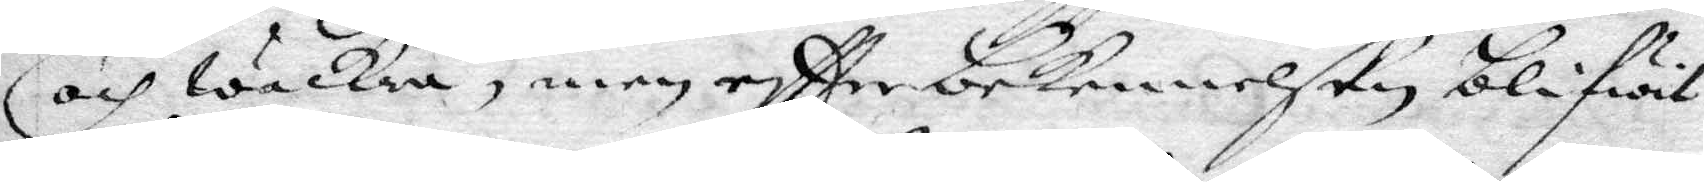och wackra, men eftter bekennelsen blifwit
